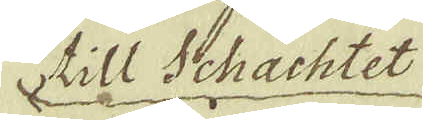till Schachtet
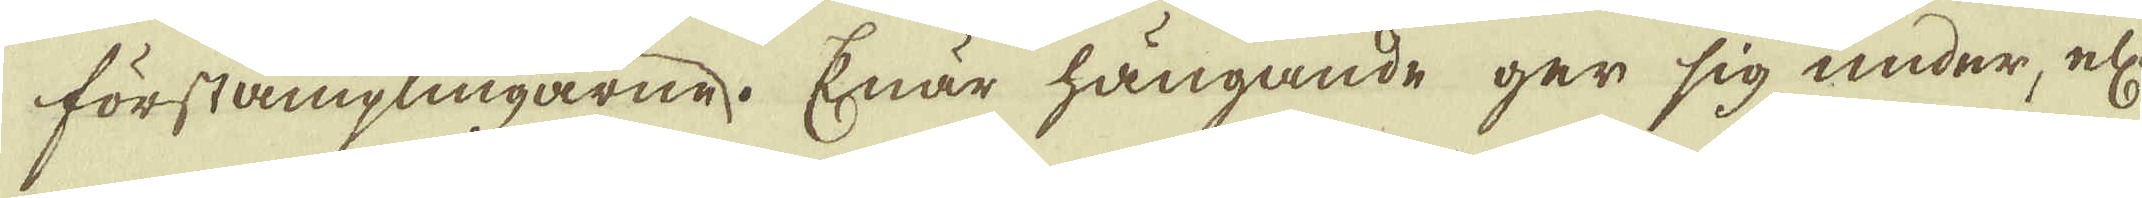förstämplingarne. Enär hängande ger sig under, el:r
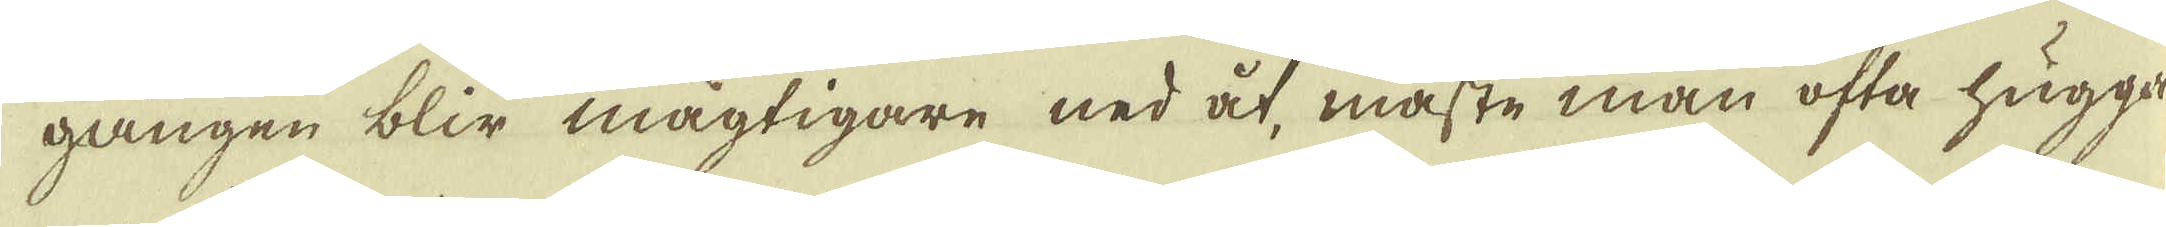gången blir mägtigare ned åt, måste man ofta hugga
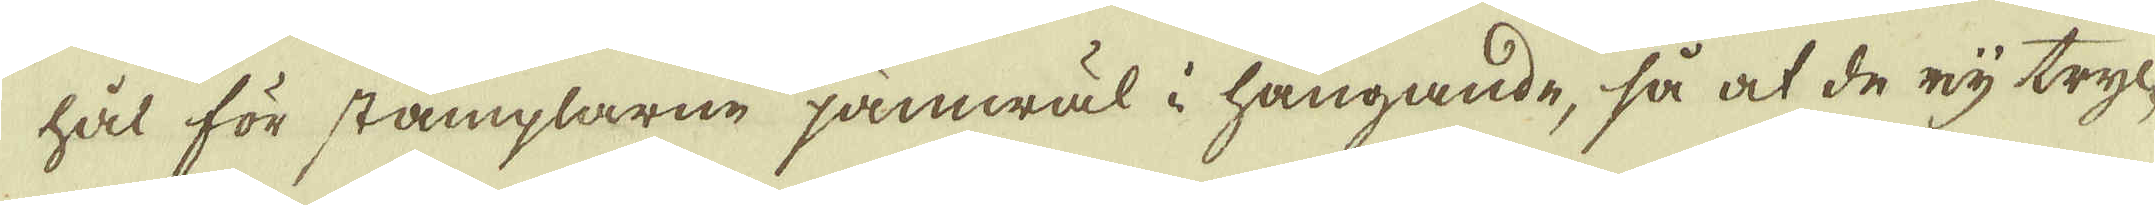hål för stämplarne jämwäl i hängande, så at de eij tryc-
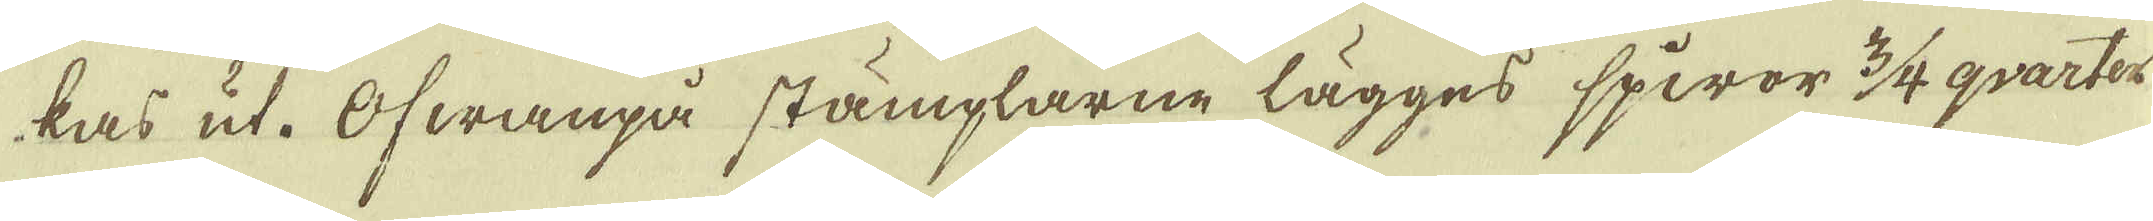kas ut. Ofwanpå stämplarne lägges spiror 3/4 qvarter
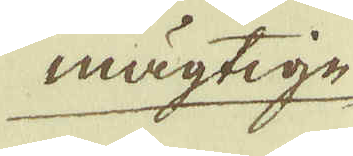mägtige
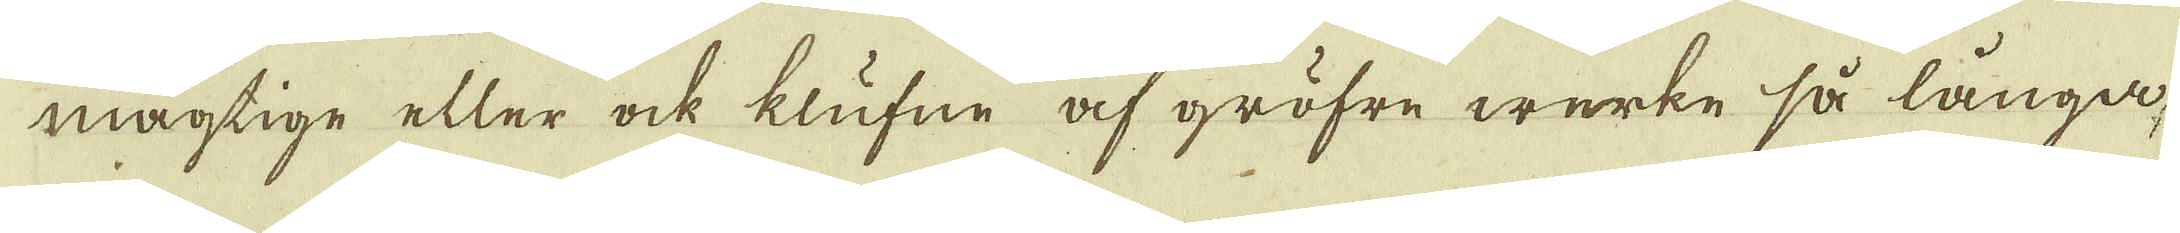mägtige eller ock klufne af gröfre werke så långa
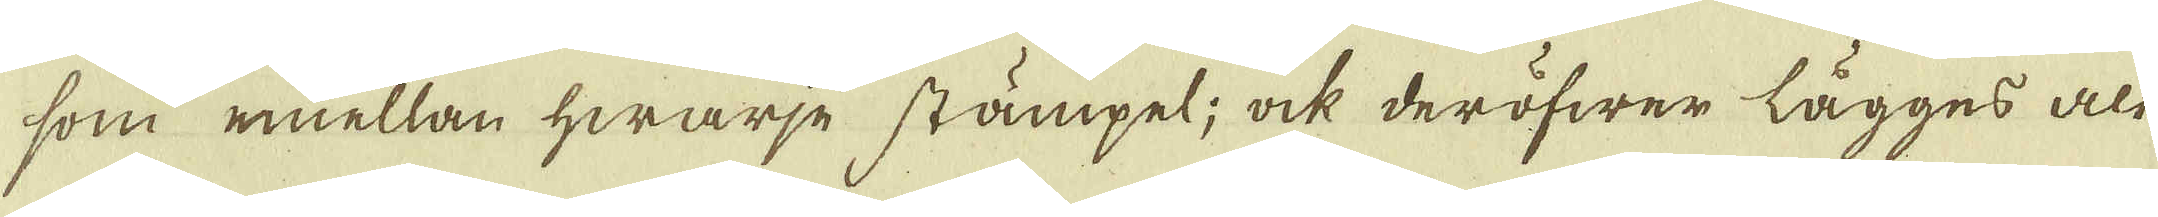som emellan hwarje stämpel; ock deröfwer lägges alt
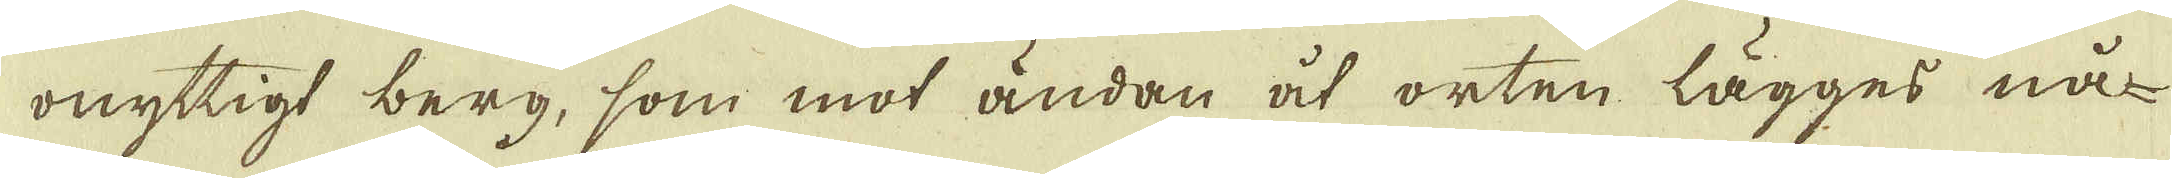onyttigt berg, som mot ändan åt orten lägges nå-
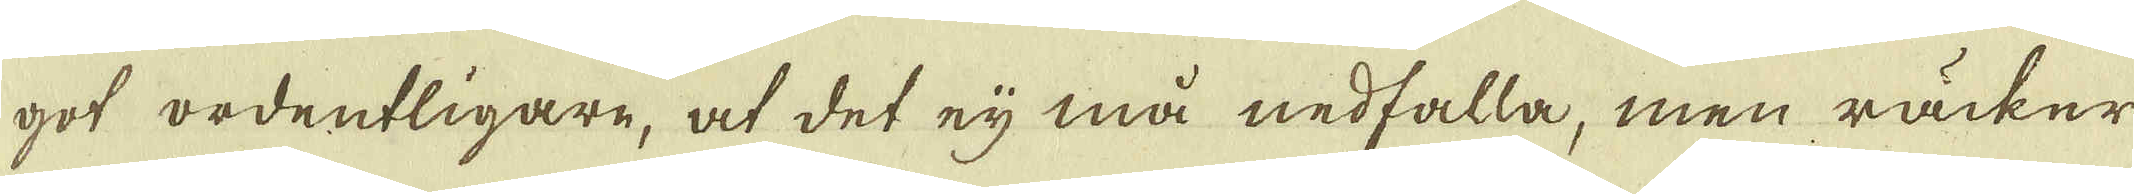got ordentligare, at det eij må nedfalla, men räcker
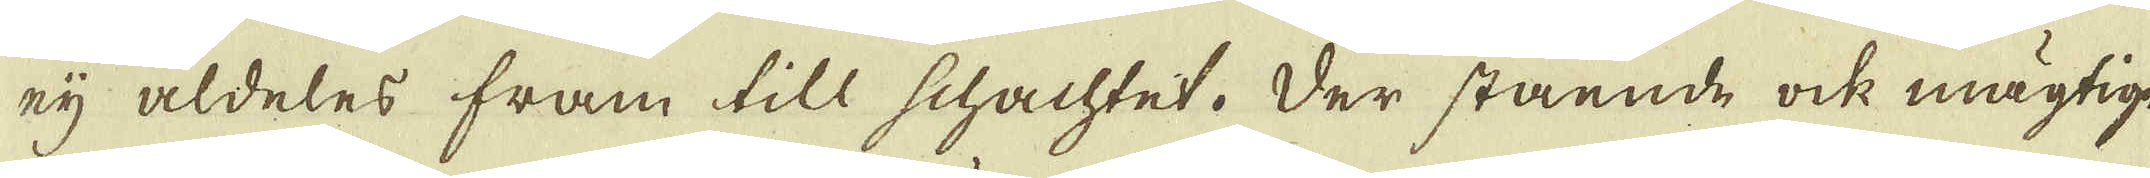eij aldeles fram till schachtet. Der stående ock mägtige
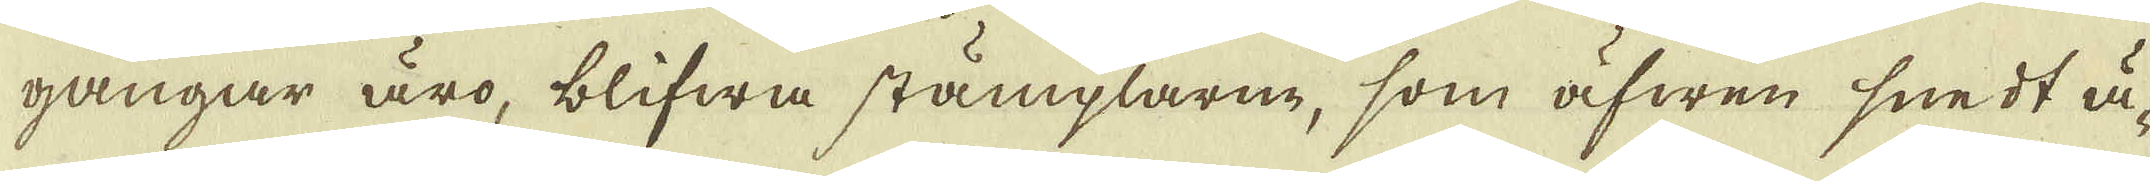gångar äro, blifwa stämplarne, som äfwen snedt ä-
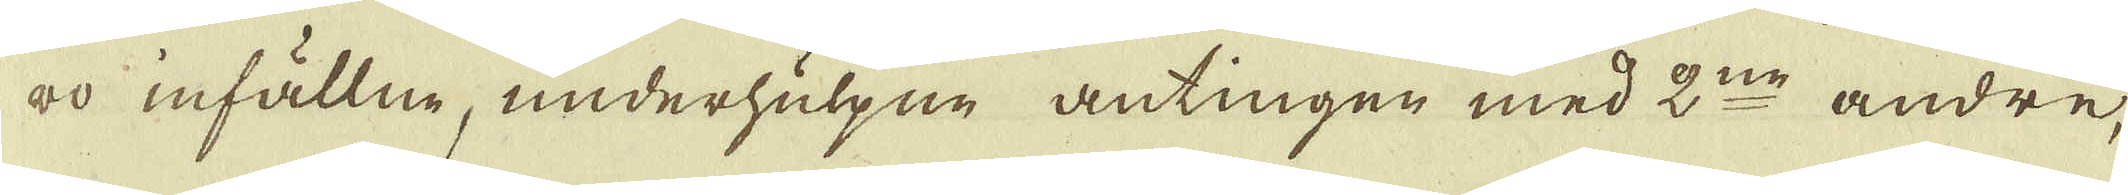ro infällne, underhulpne antingen med 2:ne andre,
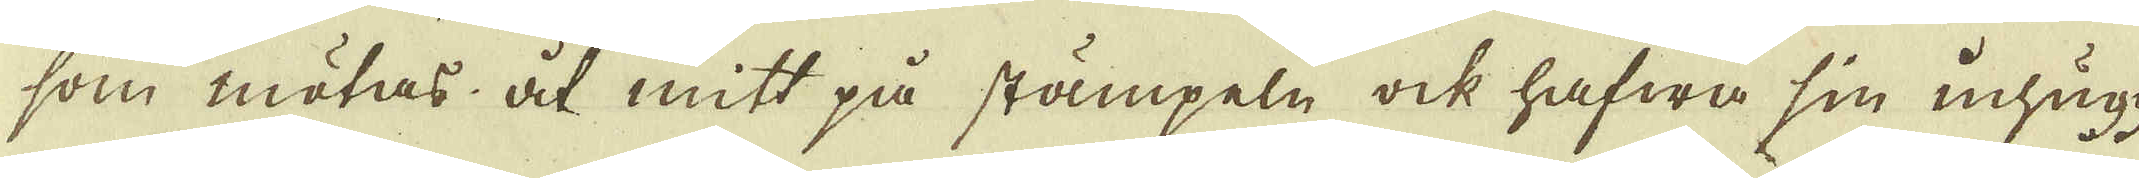som mötas åt mitt på stämpeln ock hafwa sin inhugg-
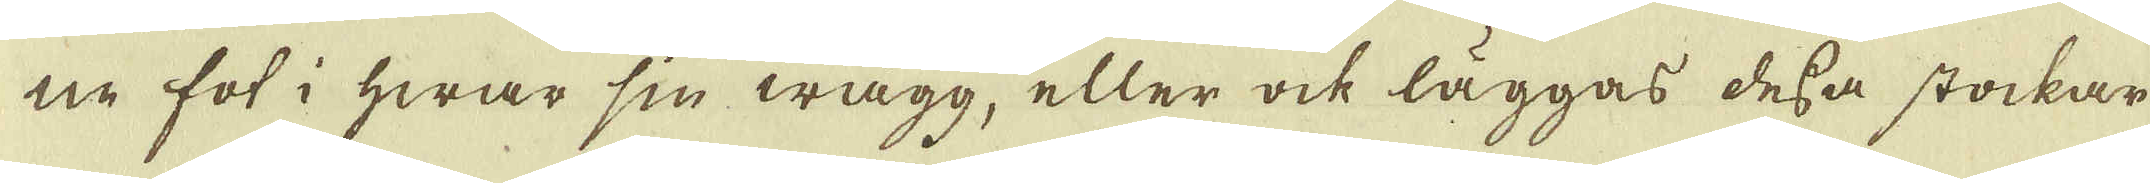ne fot i hwar sin wägg, eller ock läggas dessa stockar
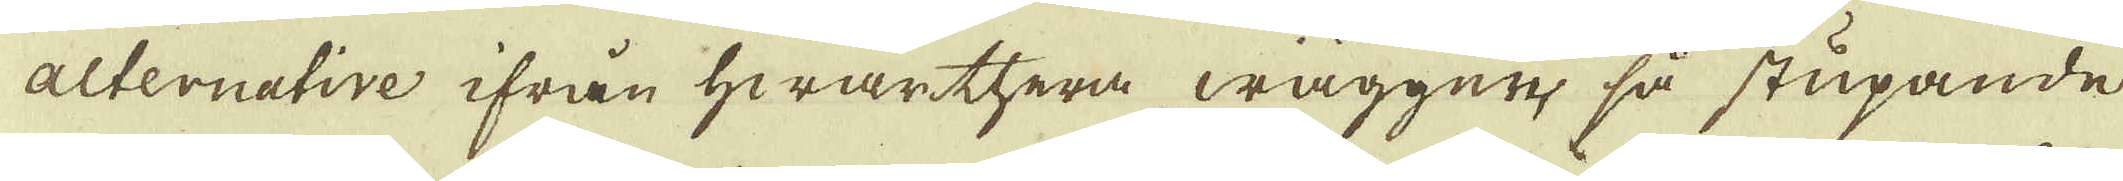alternative ifrån hwarthera wäggen, så stupande
